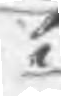i
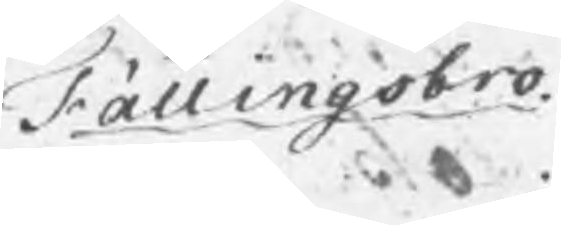Fällingsbro.
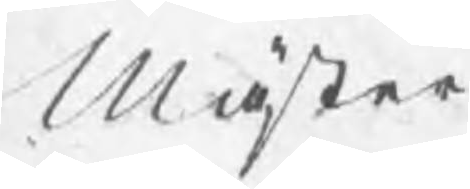Mäster
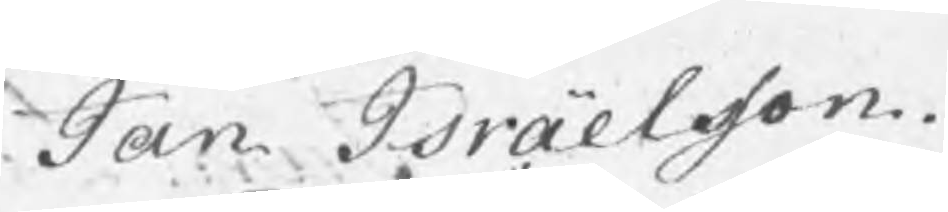Jan Israelsson.
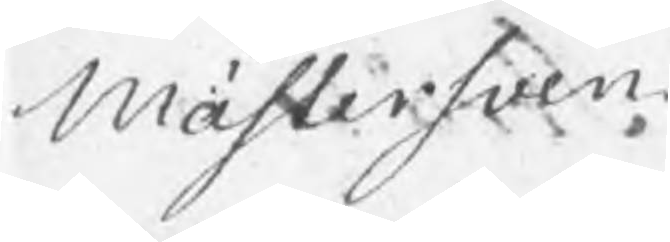Mästersven
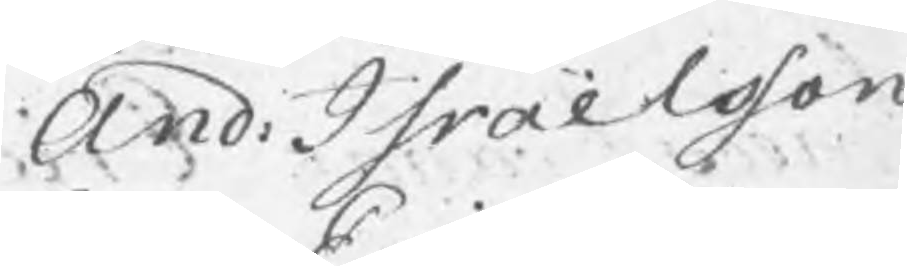And: Israelsson
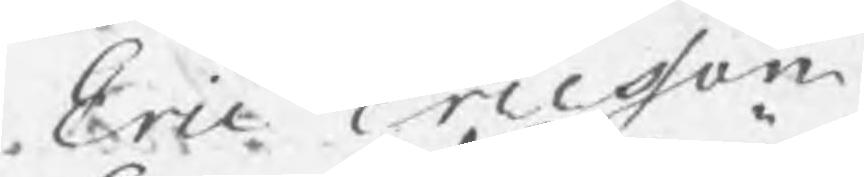Eric Ericsson
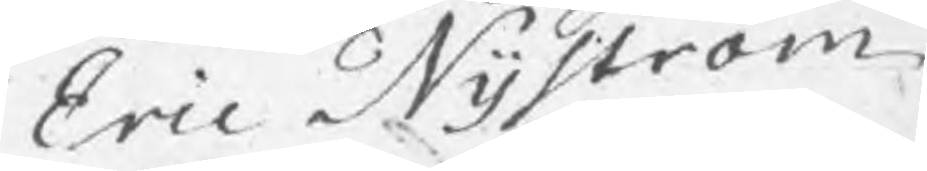Eric Nyström
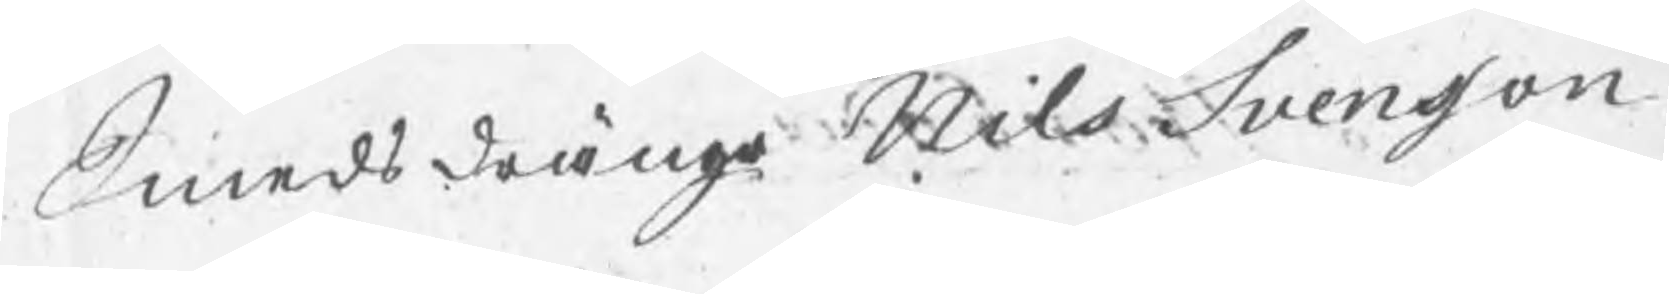Smedsdrängr Nils Svensson
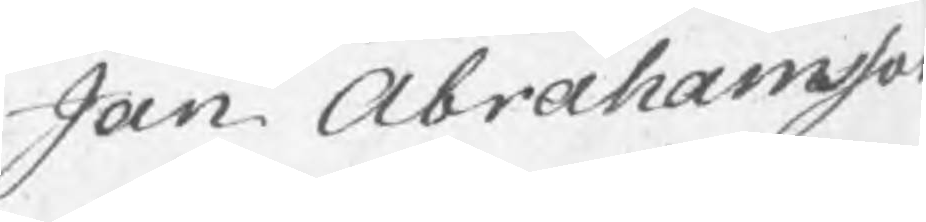Jan Abrahamsso
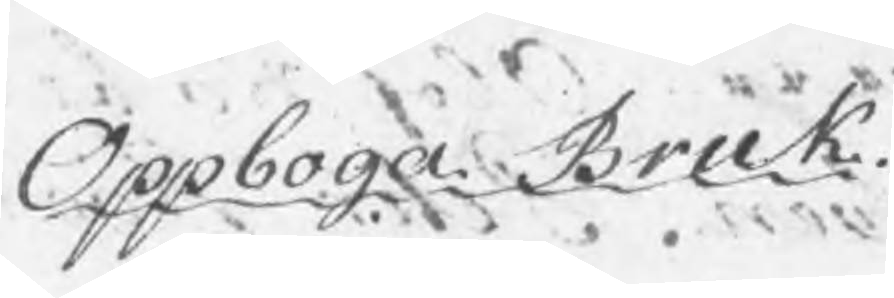Oppboga Bruk
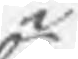i
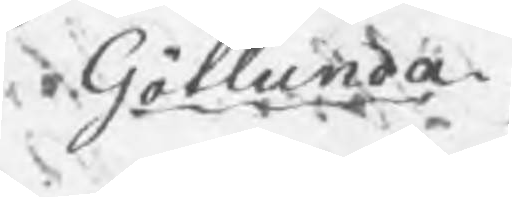Götlunda
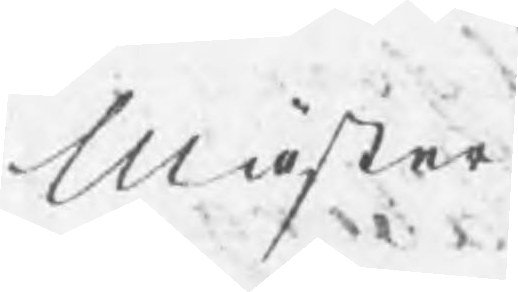Mäster
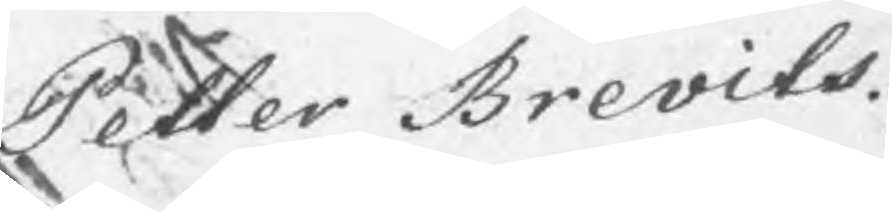Petter Brevits.
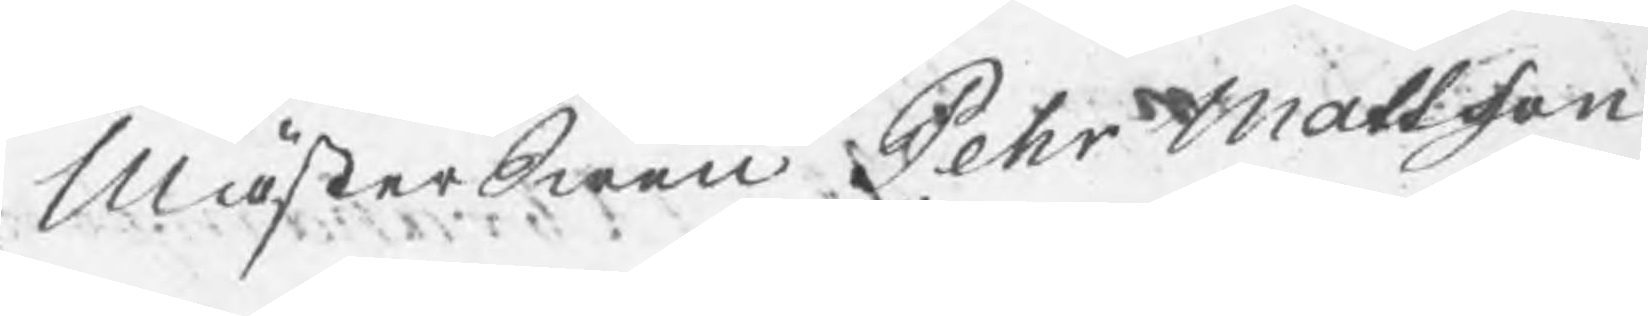MästerSwen Pehr Mattsson
